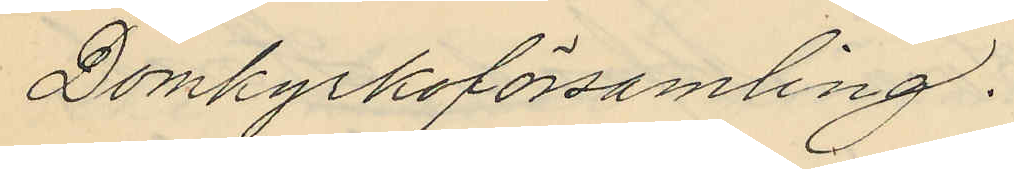Domkyrkoförsamling.
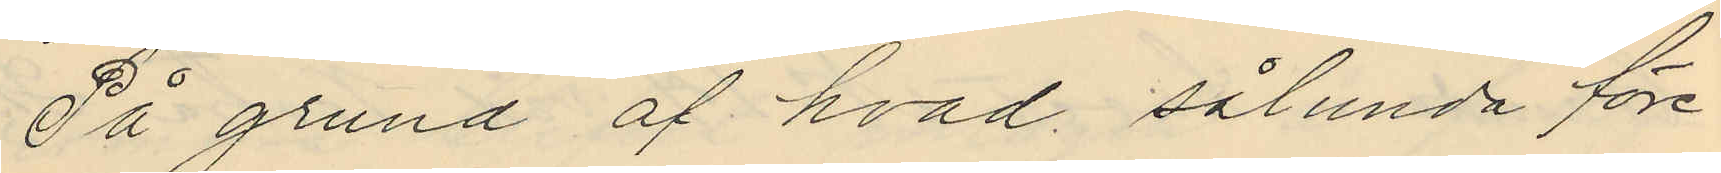På grund af hvad sålunda före¬
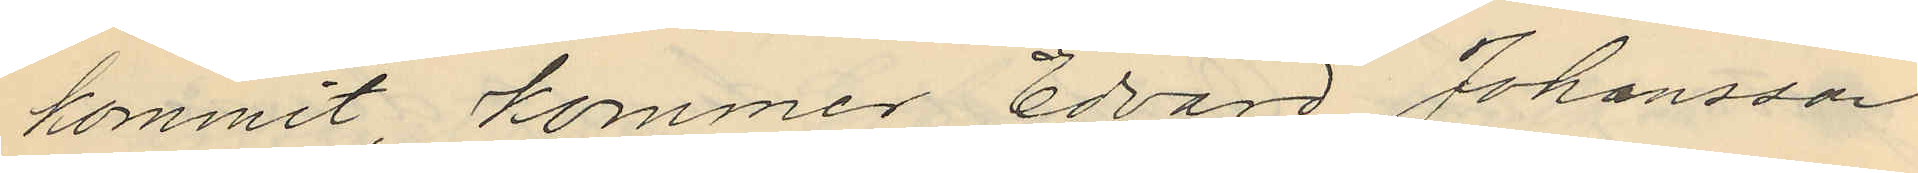kommit, kommer Edvard Johansson
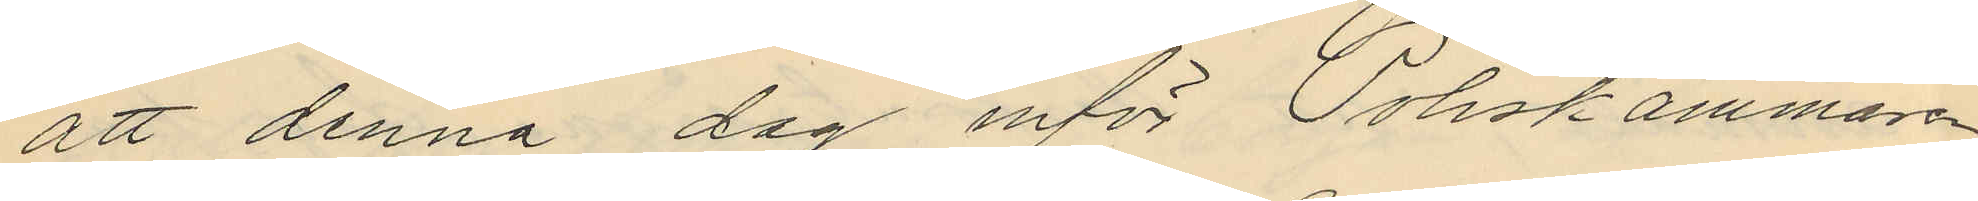att denna dag inför Poliskammaren
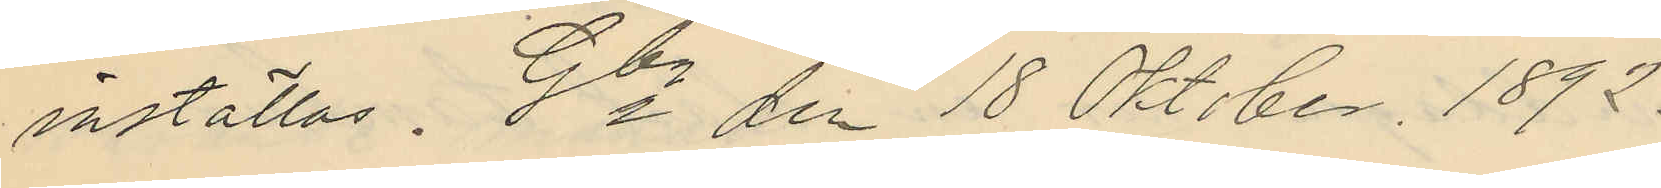inställas. Gbg den 18 Okt. ber. 1892.
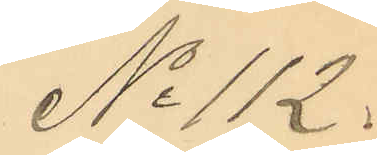No 112.
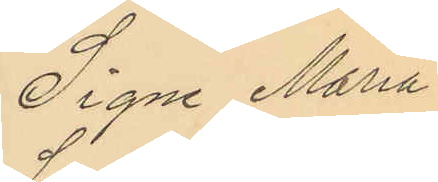Signe Maria
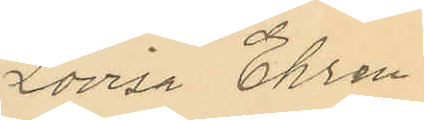Lovisa Ehren¬
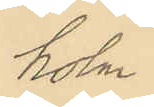holm.
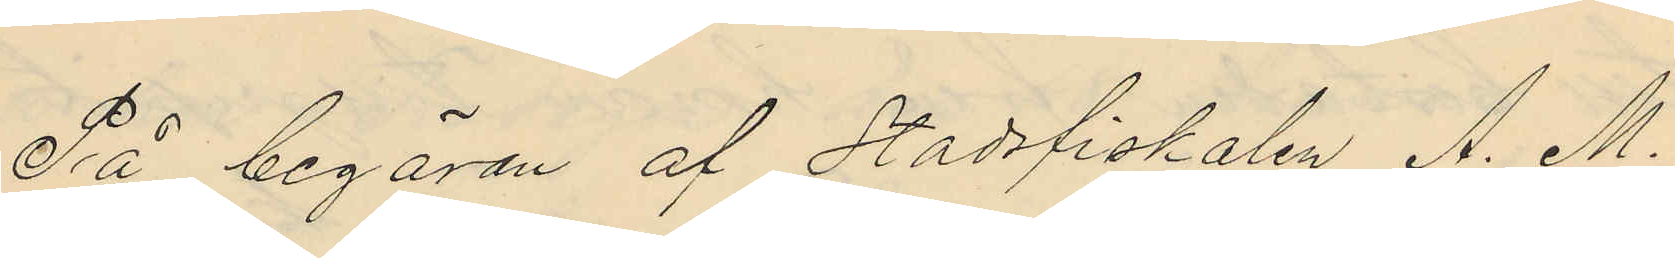På begäran af Stadsfiskalen A. M.
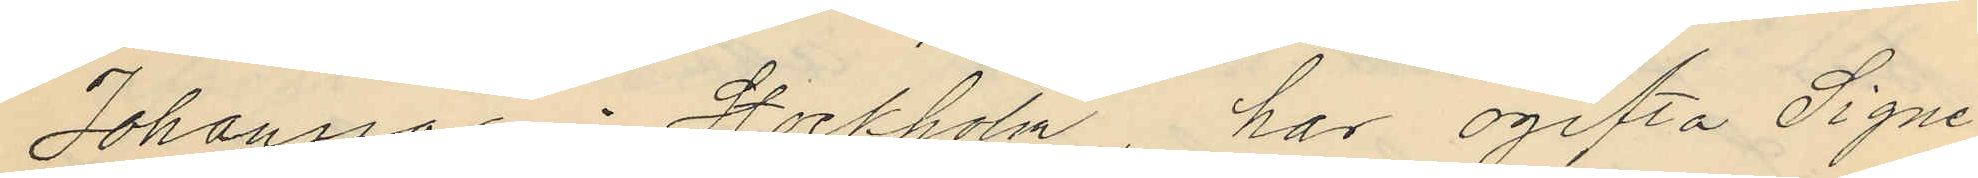Johansson i Stockholm har ogifta Signe
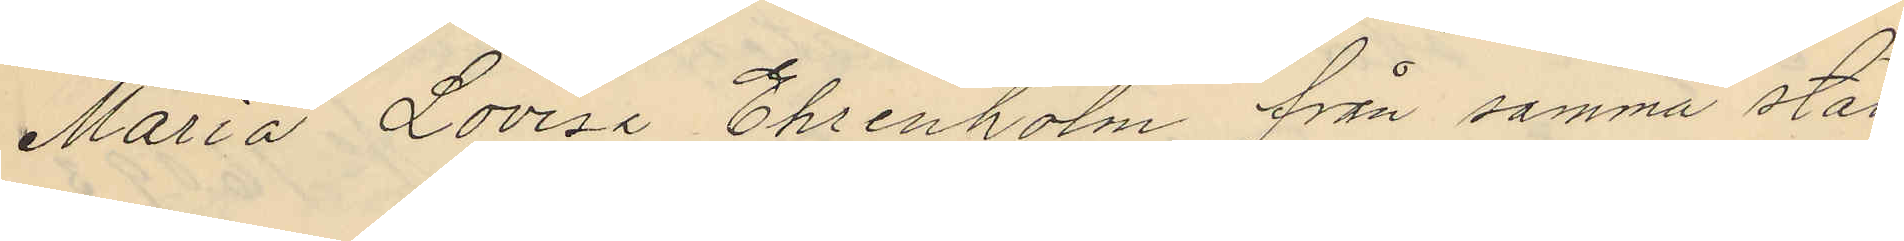Maria Lovisa Ehrenholm från samma stad
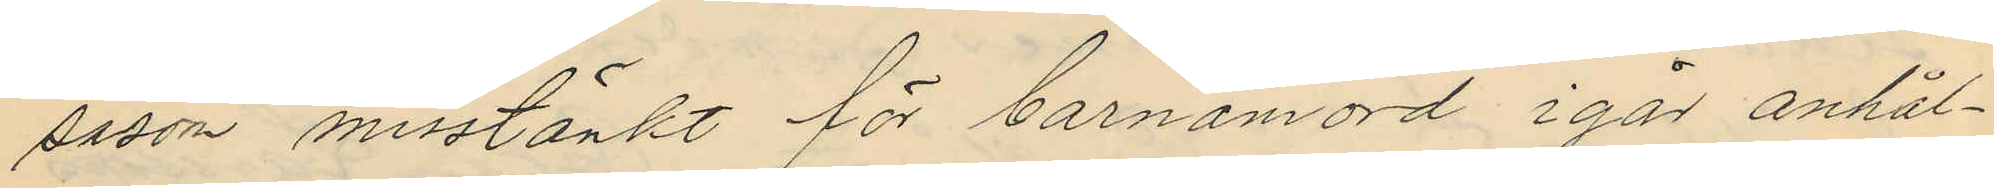såsom misstänkt för barnamord i går anhål¬
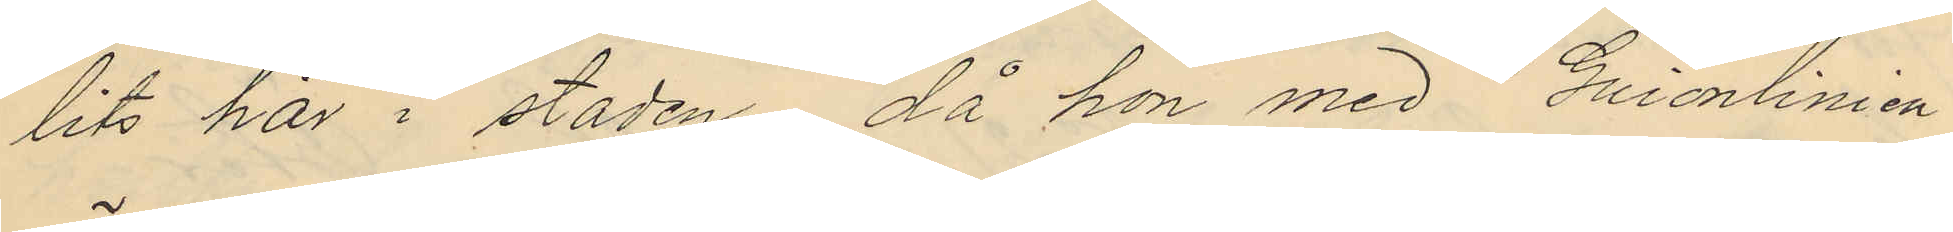lits här i staden, då hon med "Guionlinien"
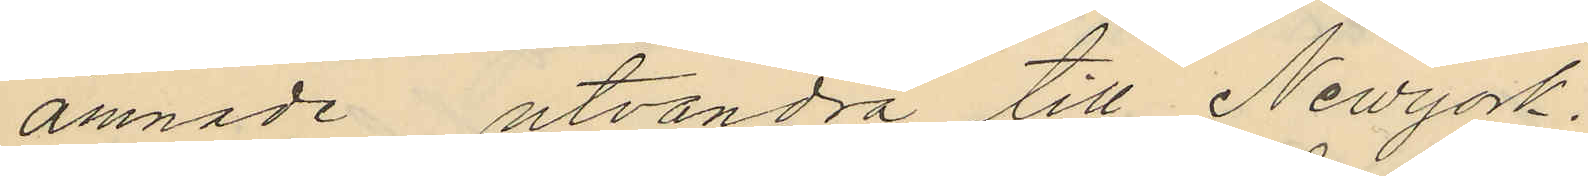ämnade utvandra till Newyork.
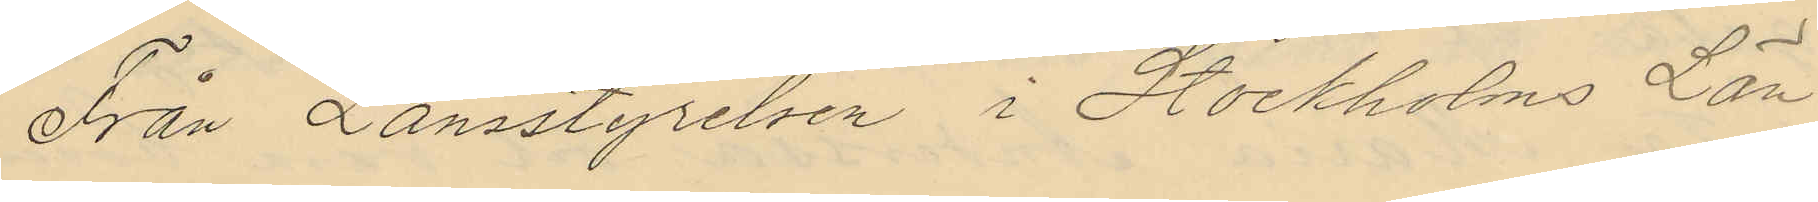Från Länsstyrelsen i Stockholms Län¬
